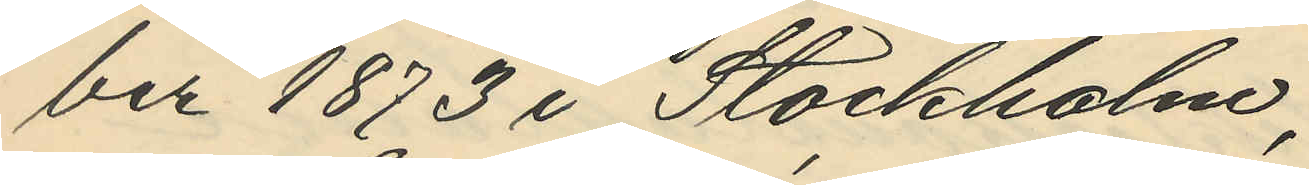ber 1873 i Stockholm;
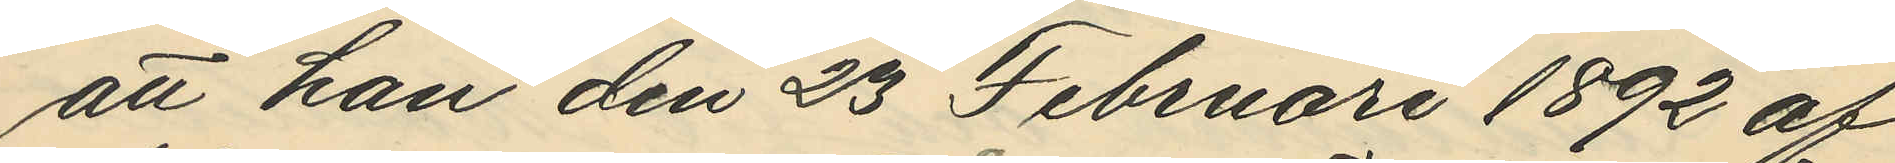att han den 23 Februari 1892 af
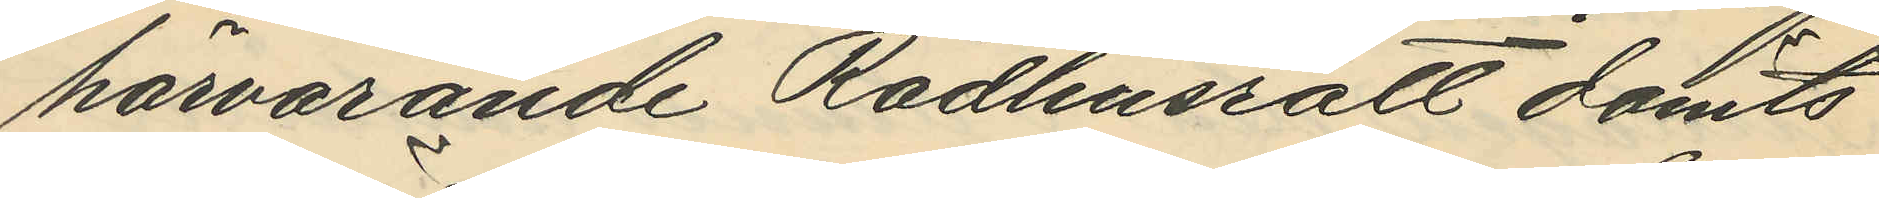härvarande Rådhusrätt dömts
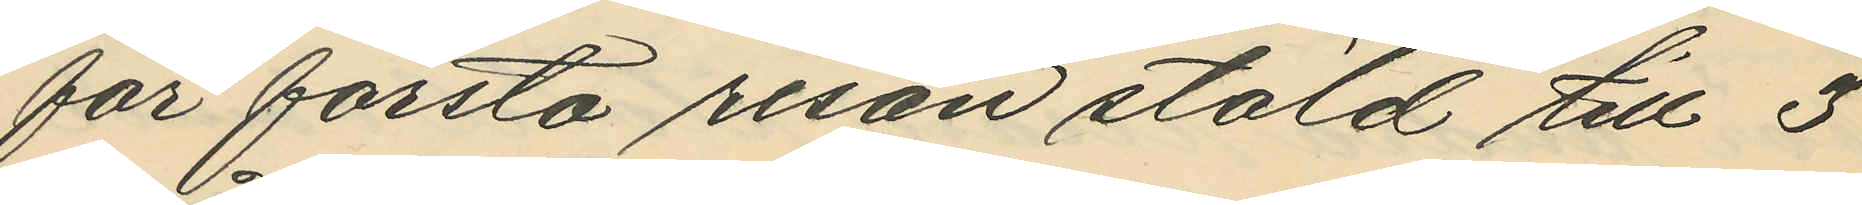för första resan stöld till 3
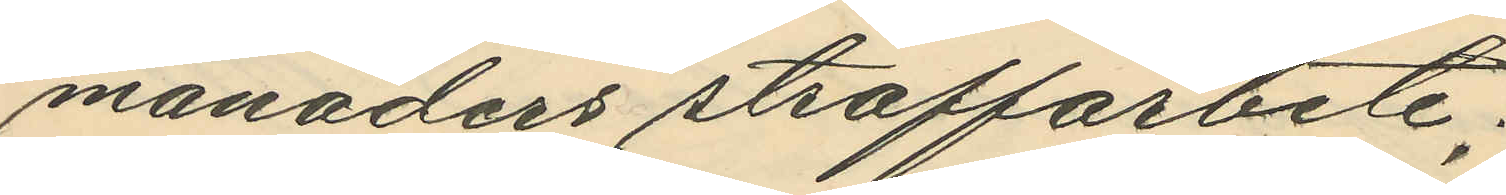månaders straffarbete;
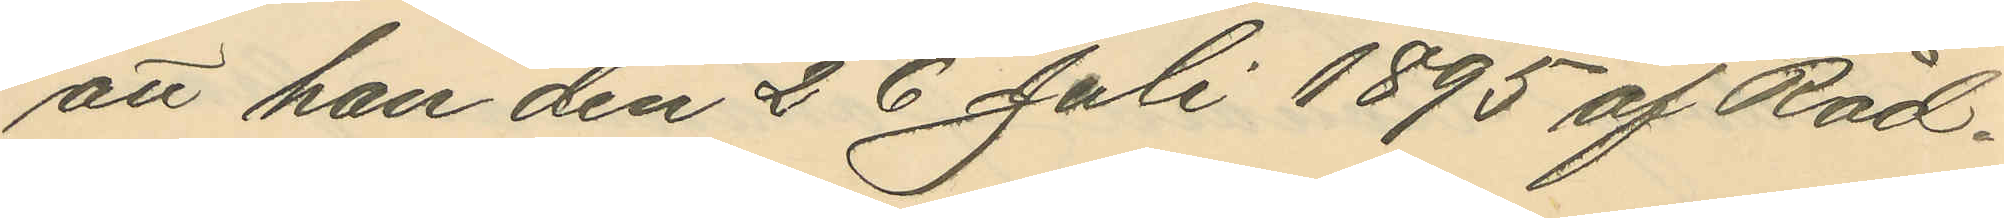att han den 26 Juli 1895 af Råd¬
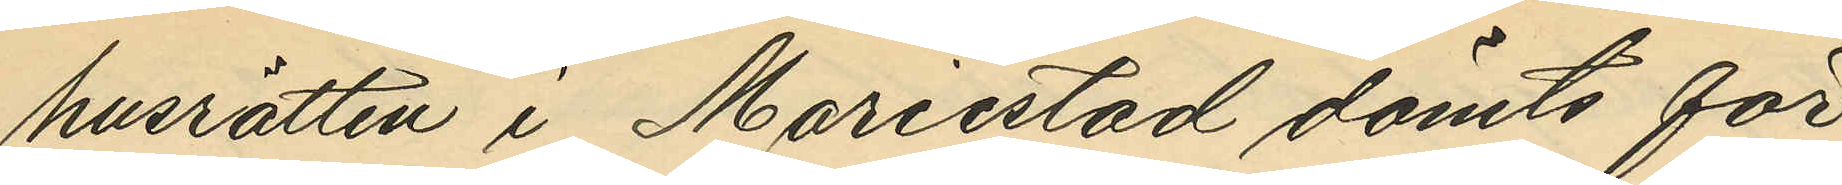husrätten i Mariestad dömts för
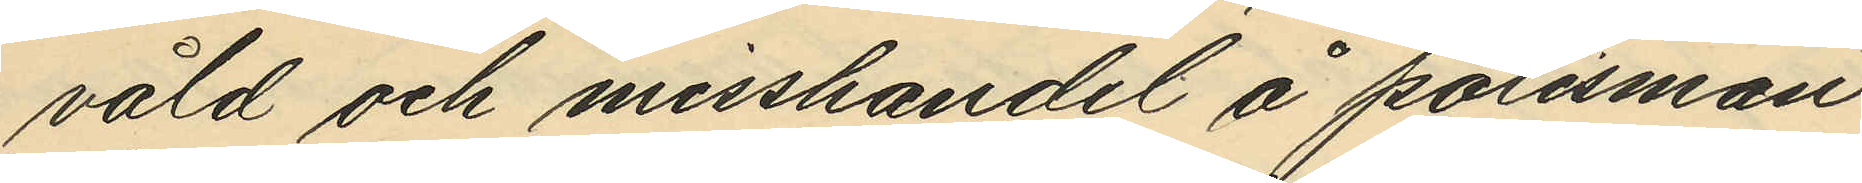våld och misshandel å polisman
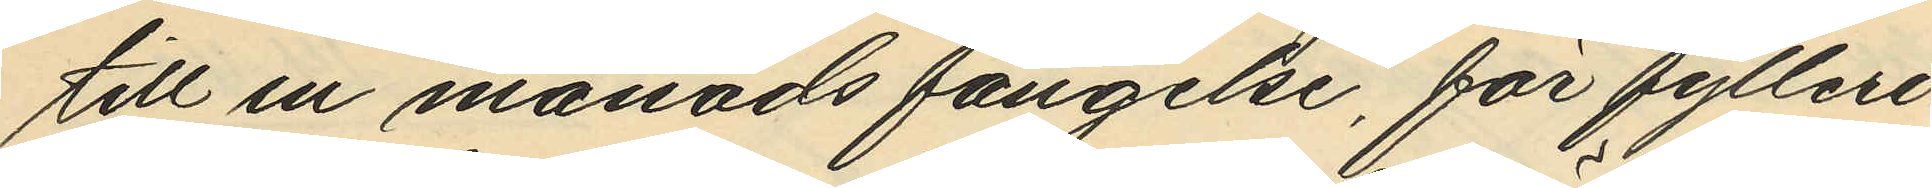till en månads fängelse, för fylleri
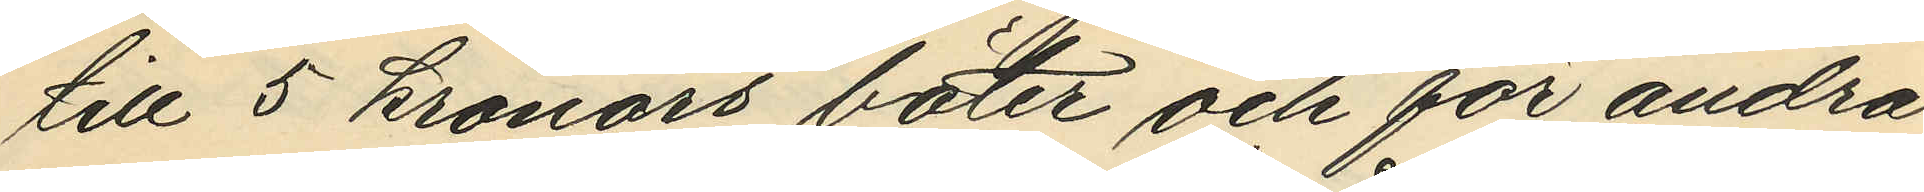till 5 kronors böter och för andra
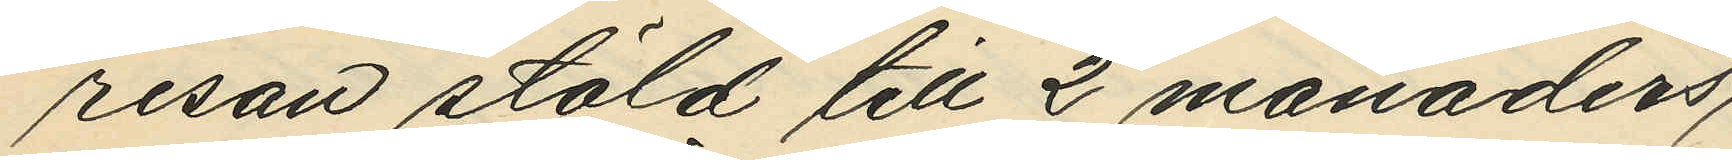resan stöld till 2 månaders straff¬
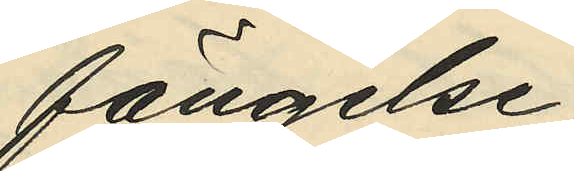arbete. fängelse;
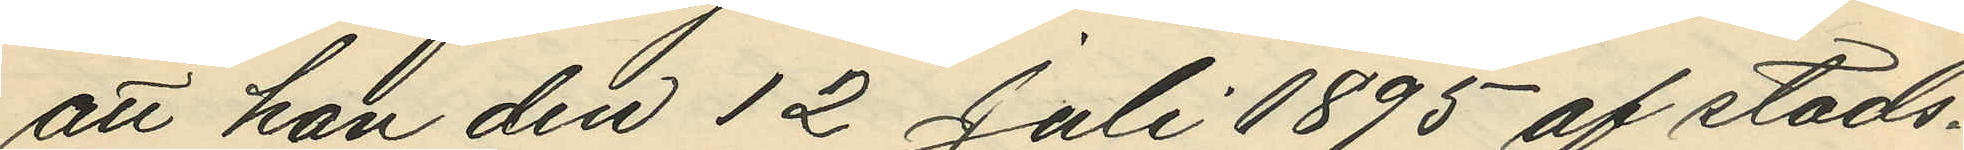att han den 12 Juli 1895 af stads¬
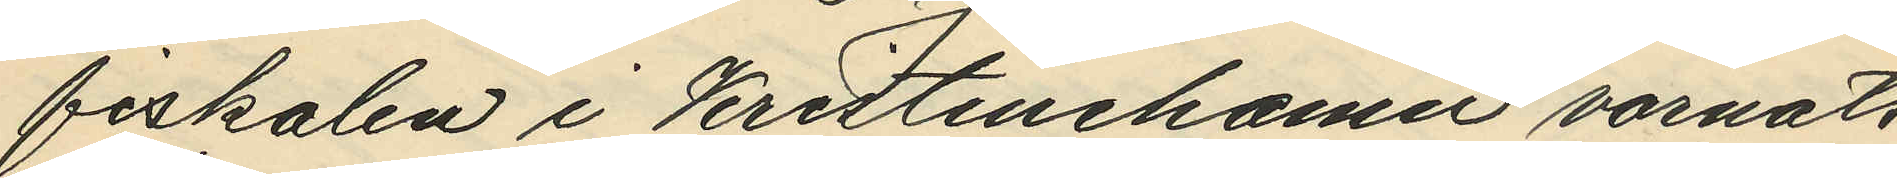fiskalen i Kristinehamn varnats
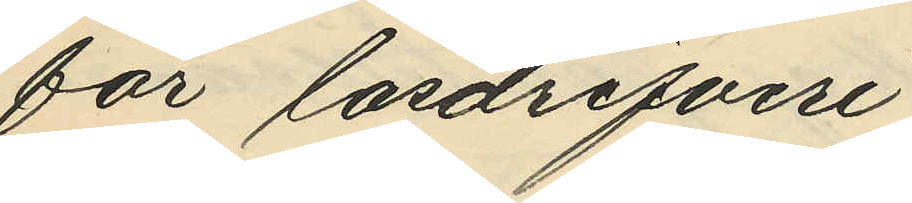för lösdrifveri;
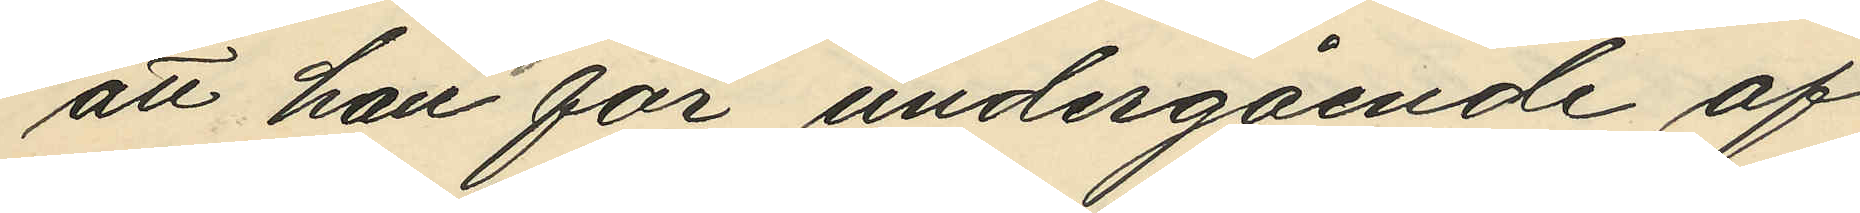att han för undergående af
